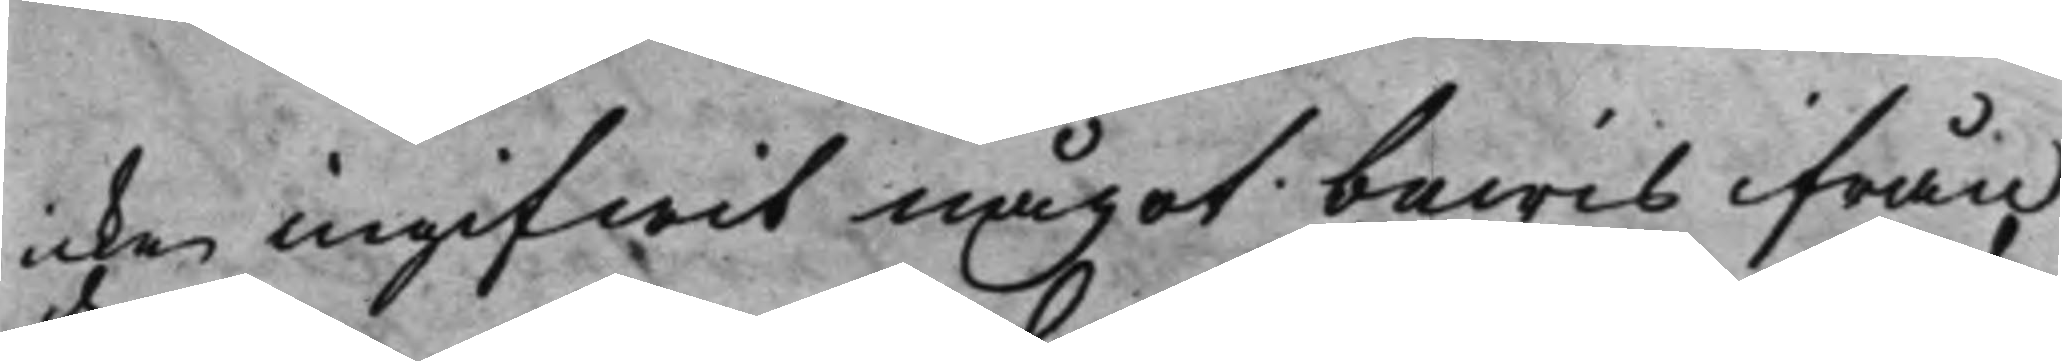icke ingifwit något bewis ifrån
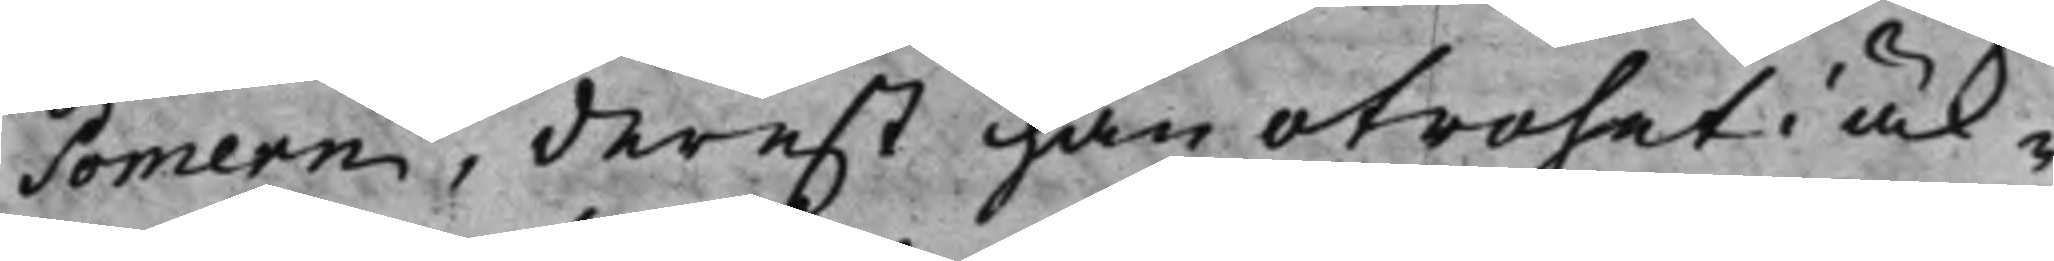Pomern, derest han otrohet i äk¬
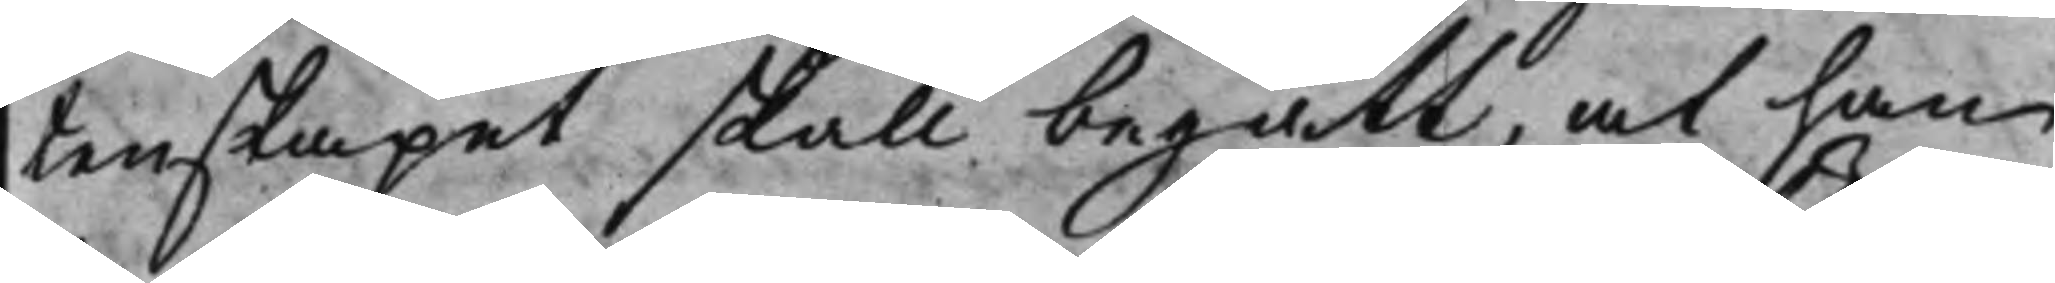tenskapet skall begått, at han
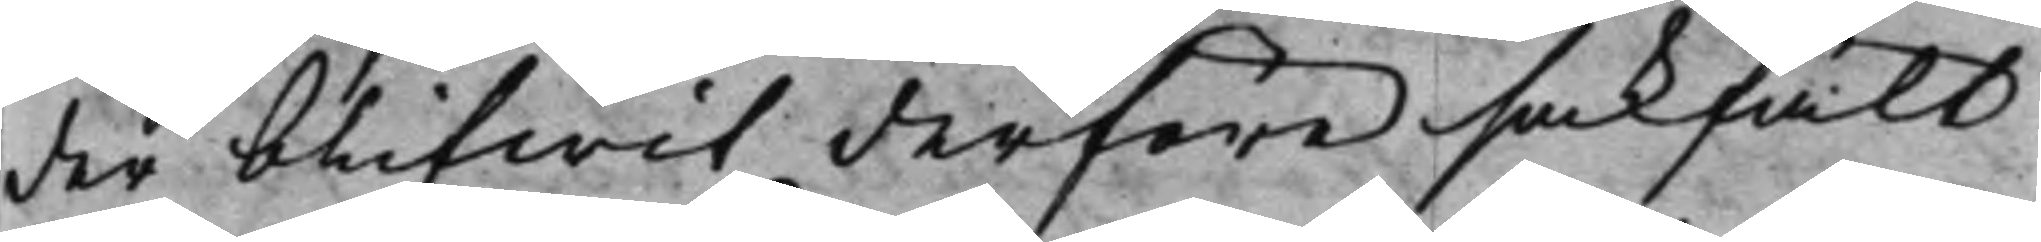der blifwit derföre sakfält
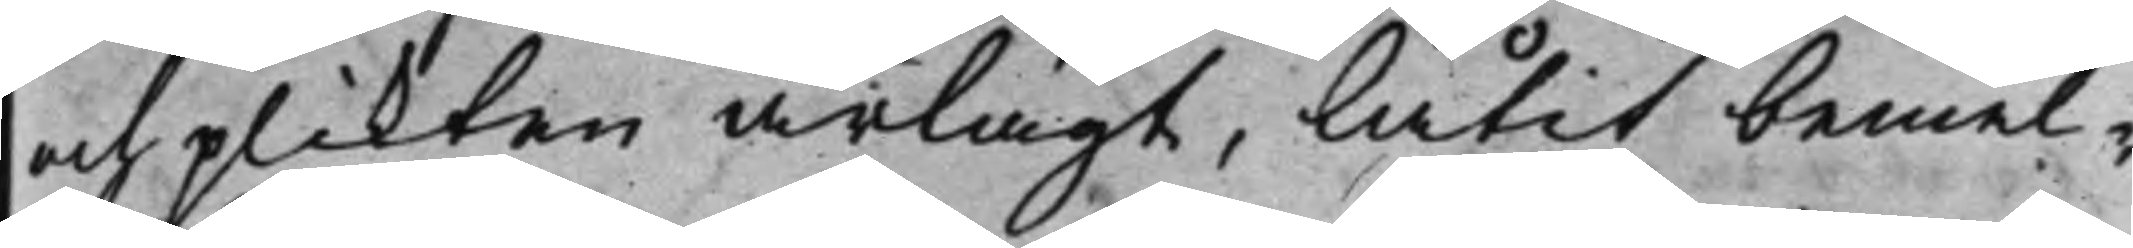och plikten ärlagt, låtit bemel¬
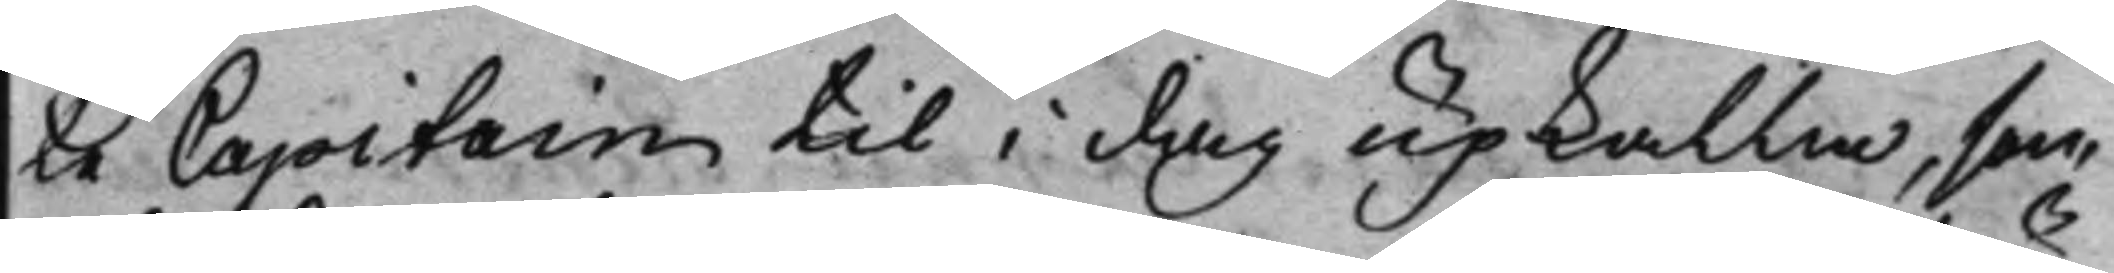te Capitain til i dag upkalla, som
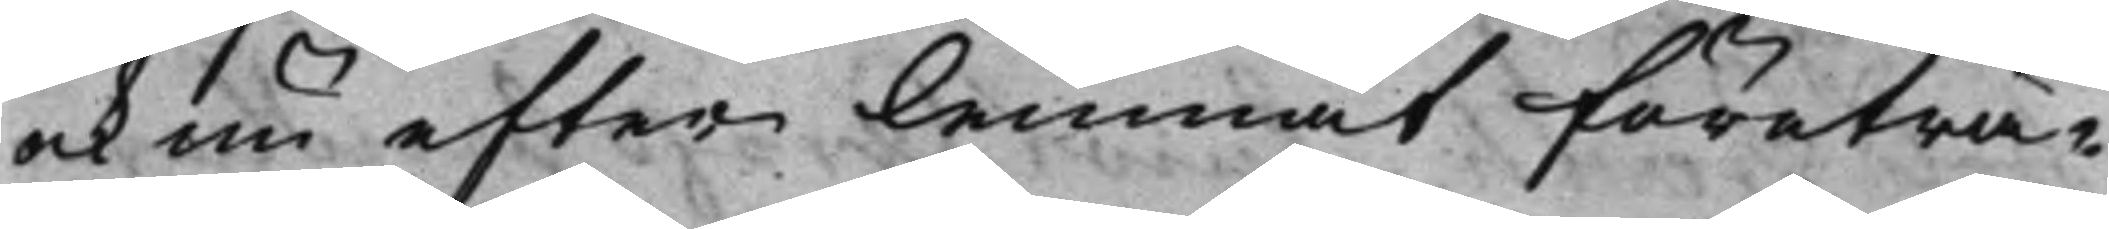ock nu efter lemnat företrä¬
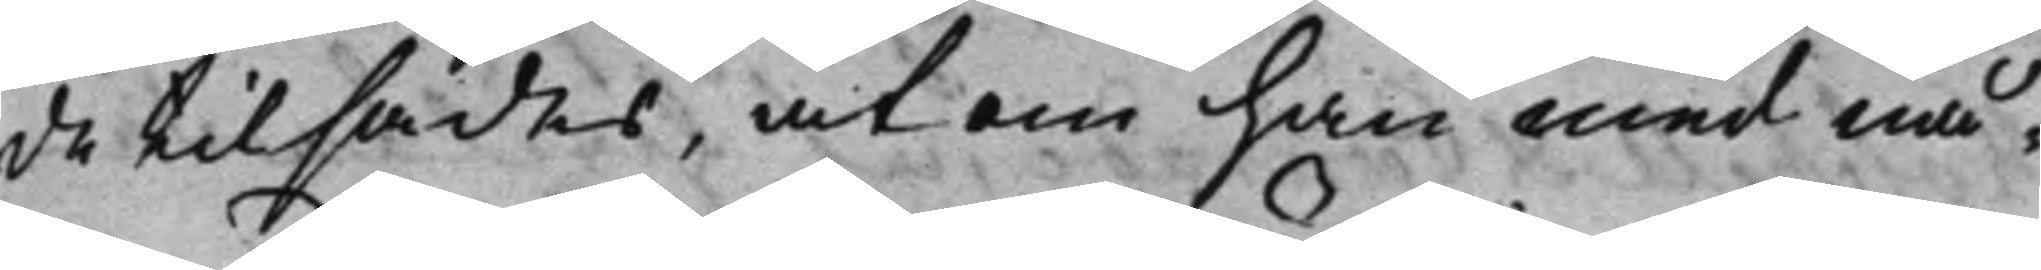de tilsades, at om han med nå¬
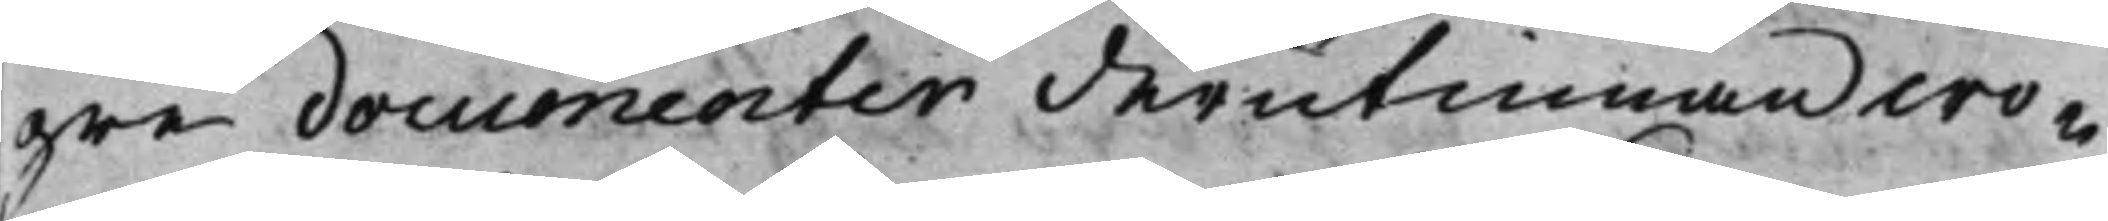gre documenter derutinnan wo¬
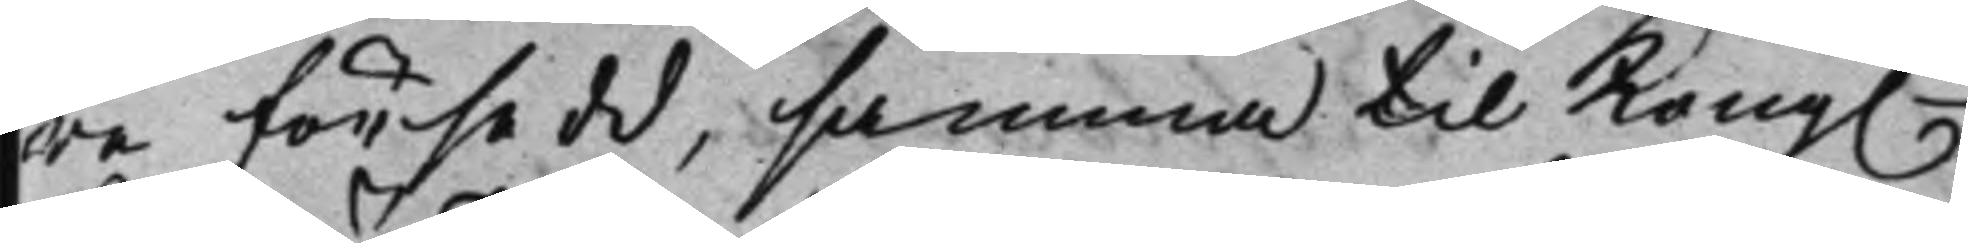re försedd, samma til Kong. 
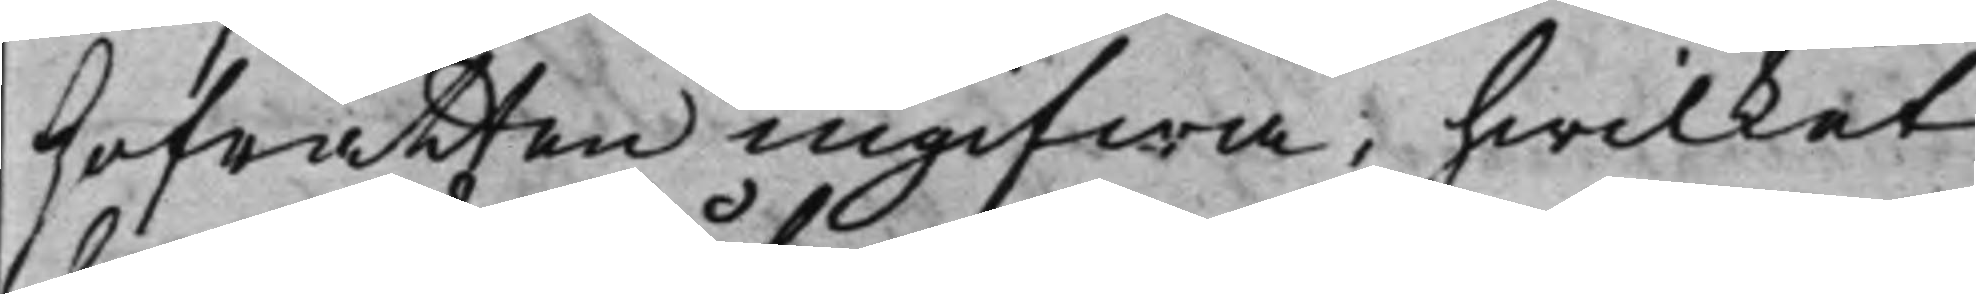Hofrätten ingifwa, hwilket
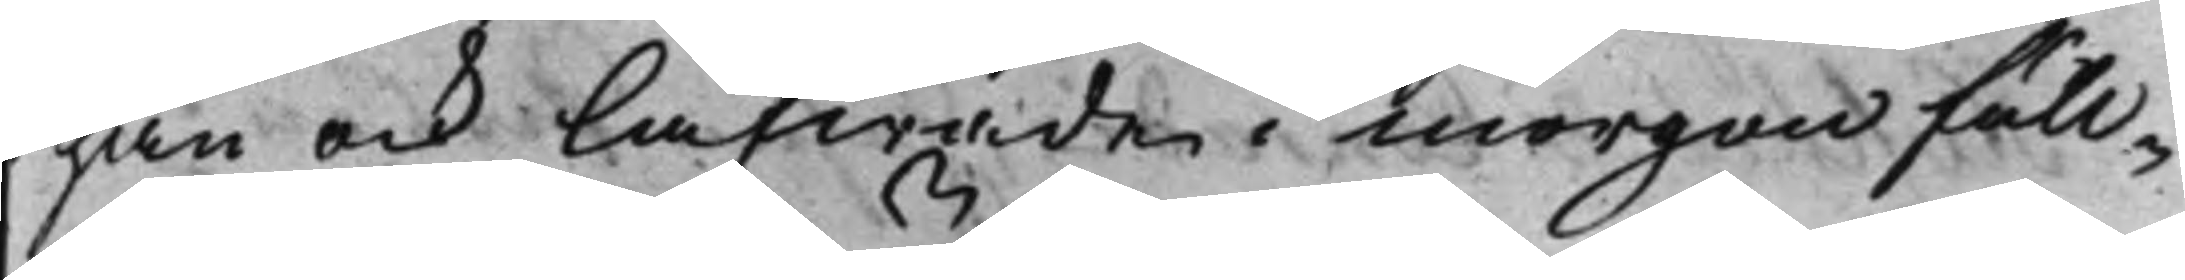han ock låfwade i morgon full¬
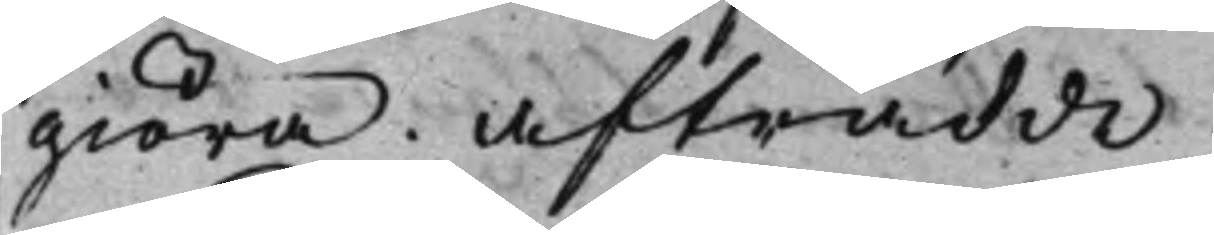giöra. Afträdde.
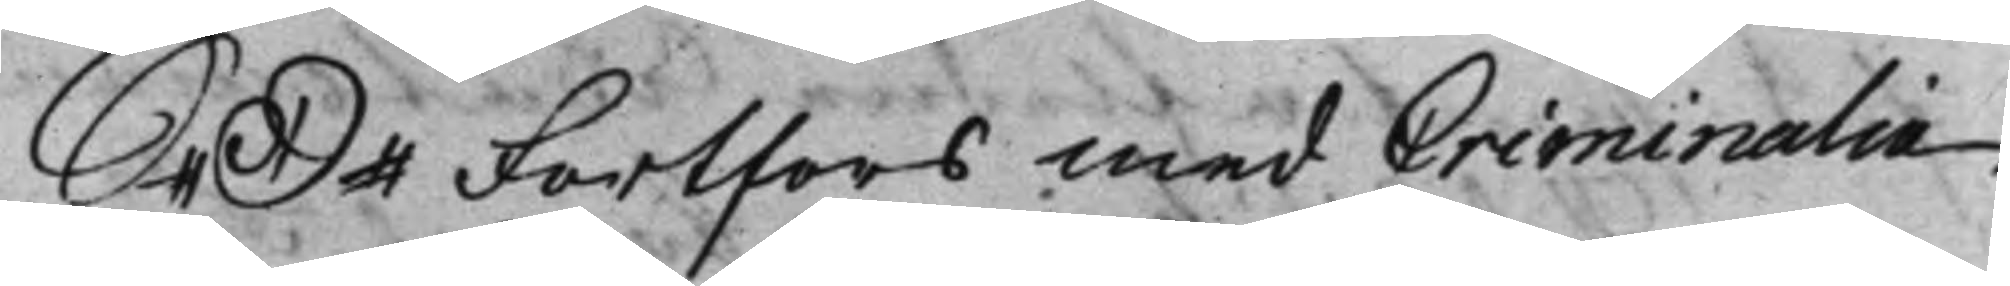S. D. Fortfors med Criminalia 
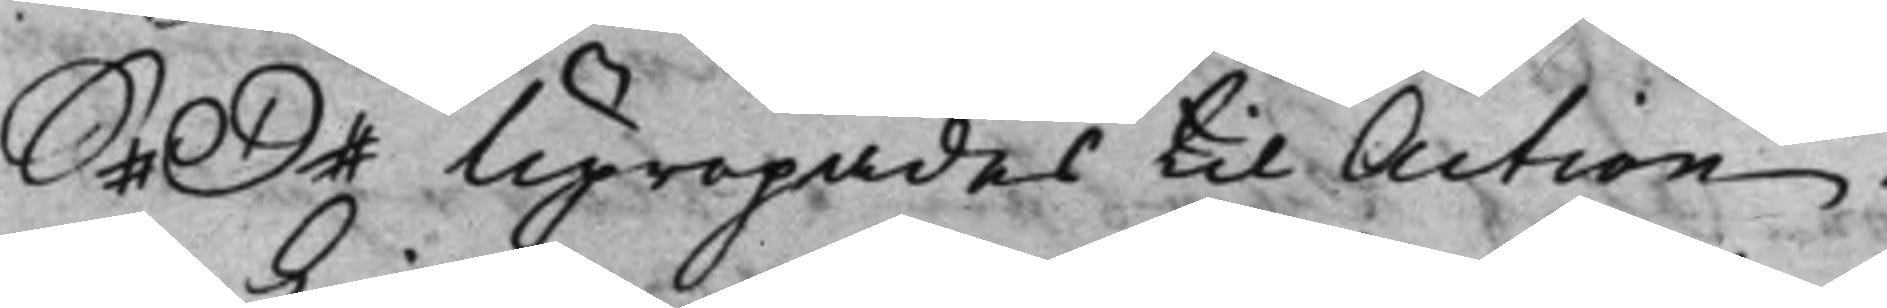S. D. Upropades til Action. 
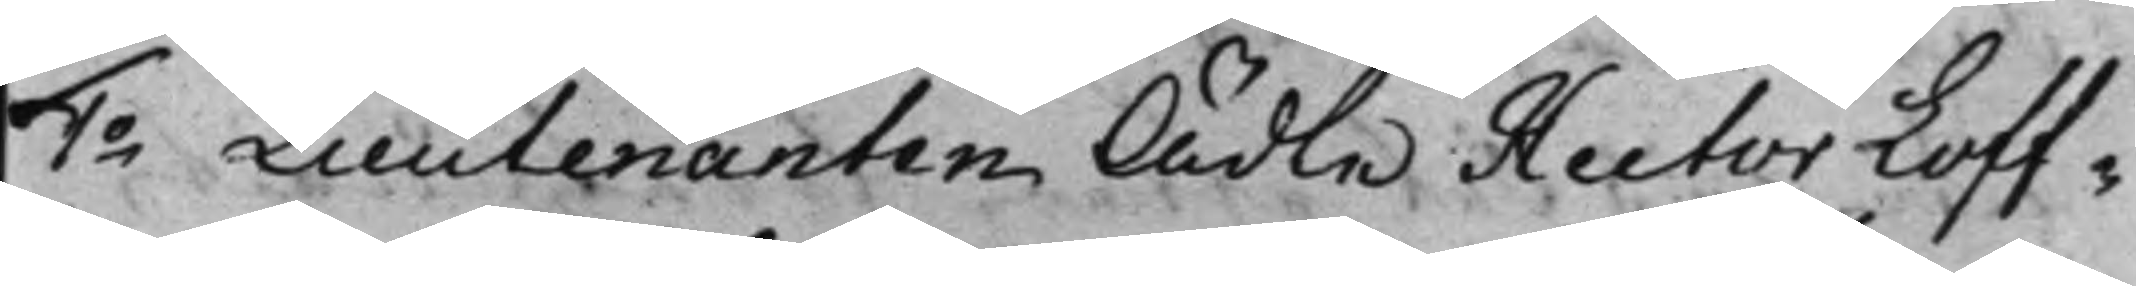1o Lieutenanten Ädle Hector Loff¬ 
